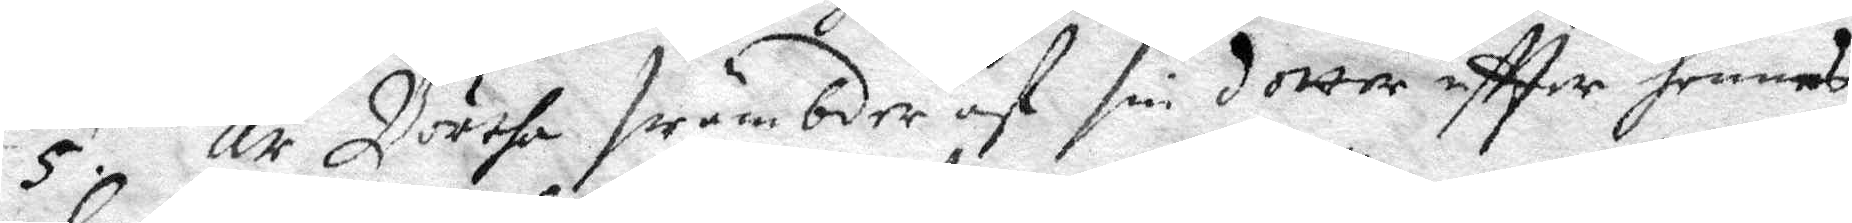5. Är Börtha swämbder af sin dotter eftter hennes
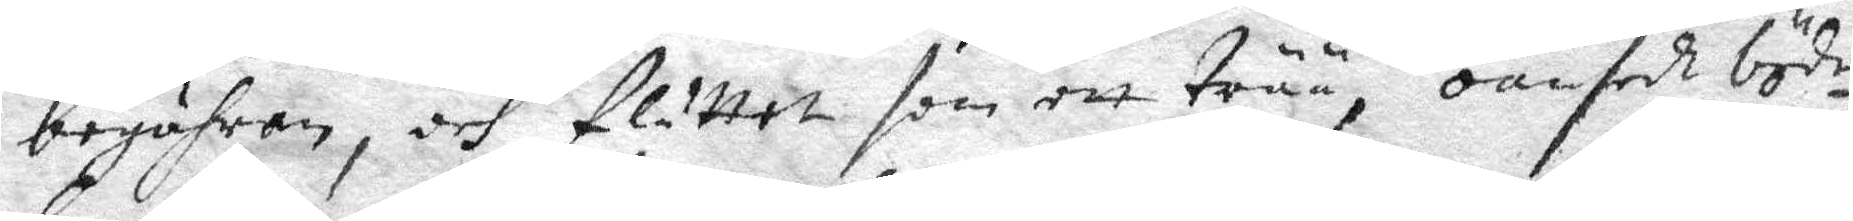begähran, och fluttet som ett trää, oansedt böde¬
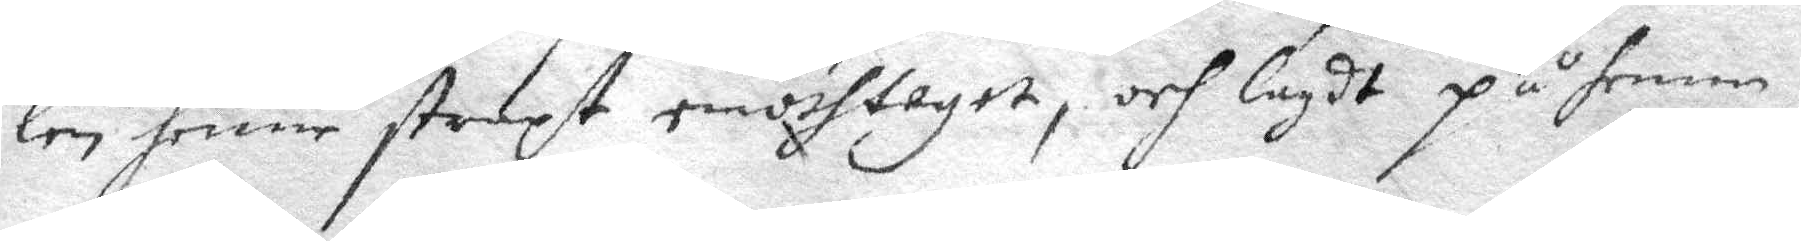len henne straxt emothtaget, och lagdt på henne 
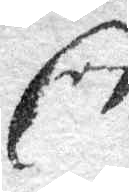Een
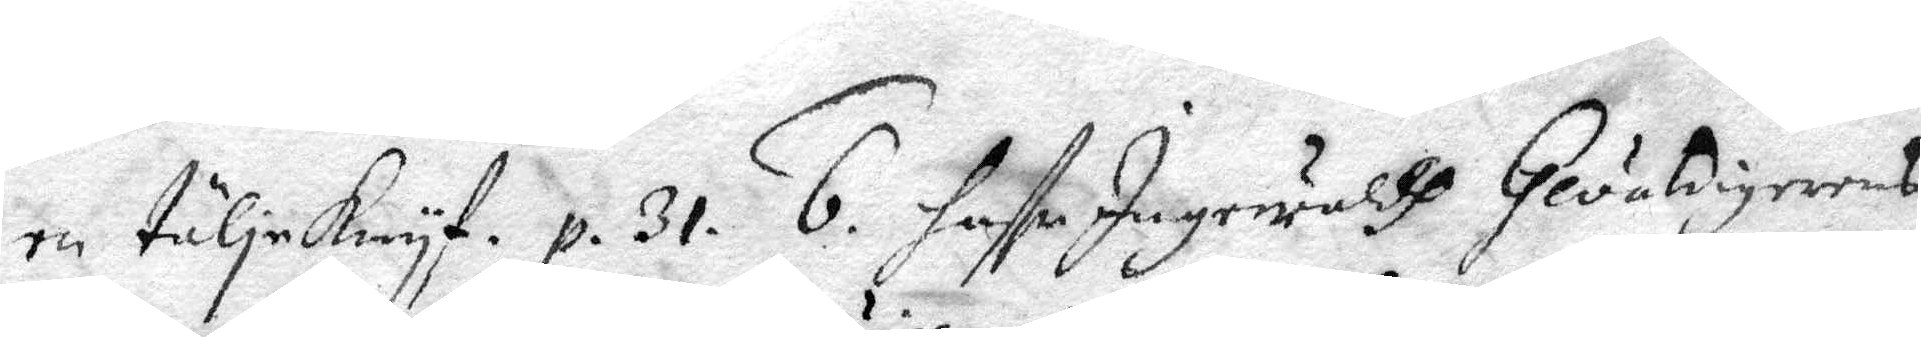en täljeknyf. p. 31. 6. haffr Ingewaldh Gevaldigerens
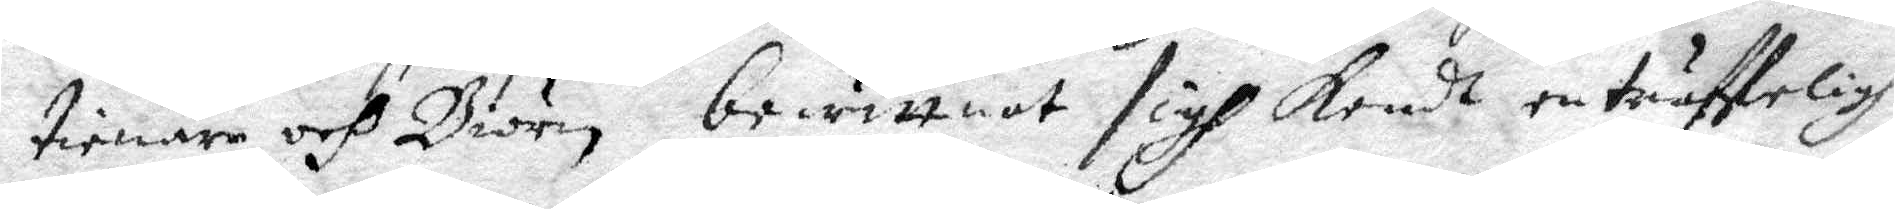tienare och Biörn bewittnat sigh kendt en träffeligh
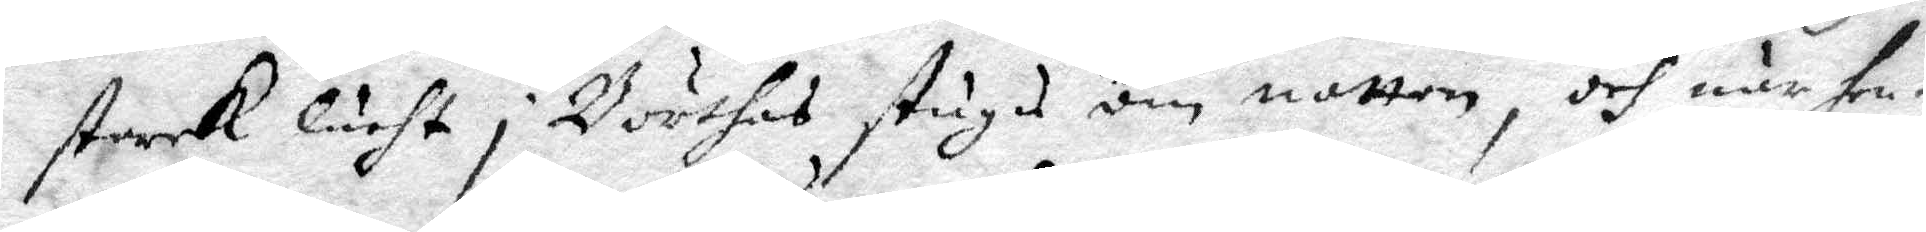starck lucht i Börthas stugu om natten, och när hen¬
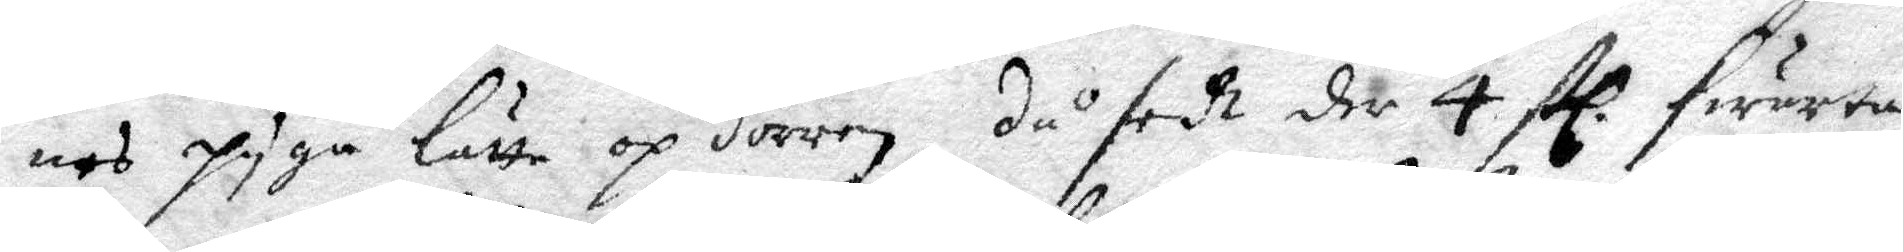nes pyga Lätta op dörren, då sedt der 4 stl. swarta
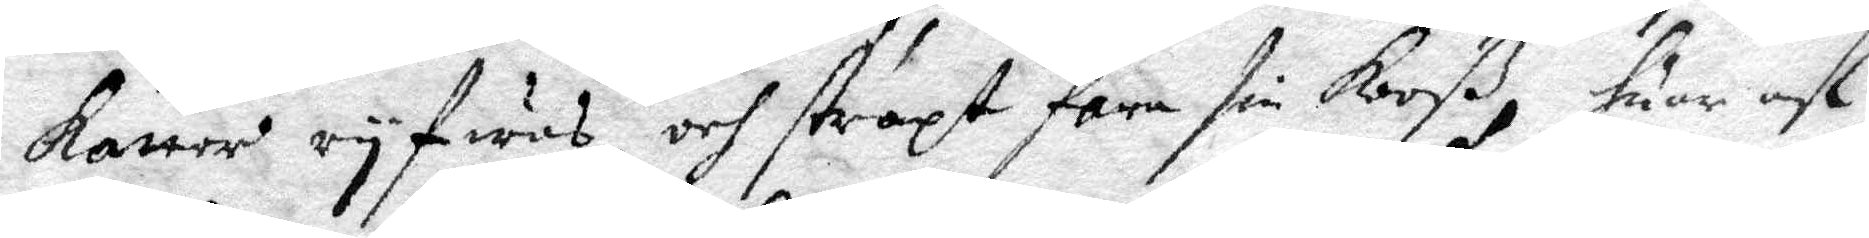kattor ryfwas, och straxt fara sin kooß, huar af
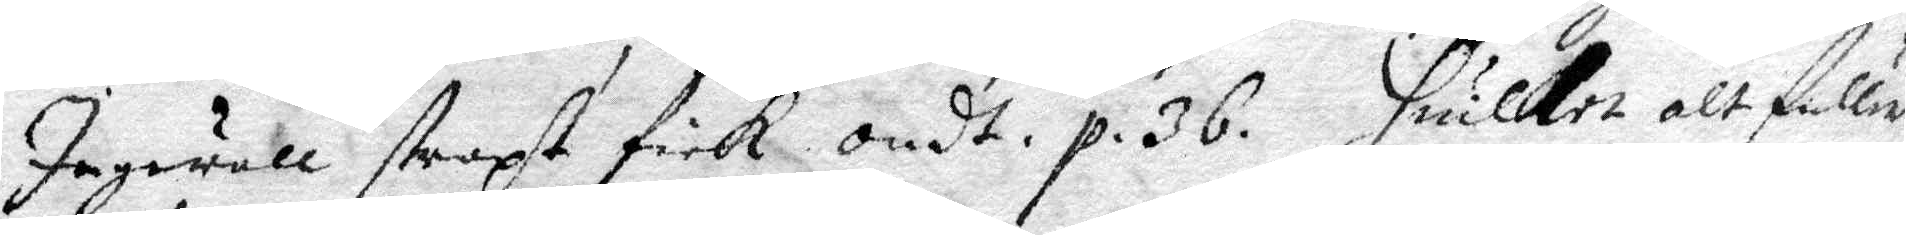Ingewall straxt fick ondt. p. 36. Huilket alt fuller
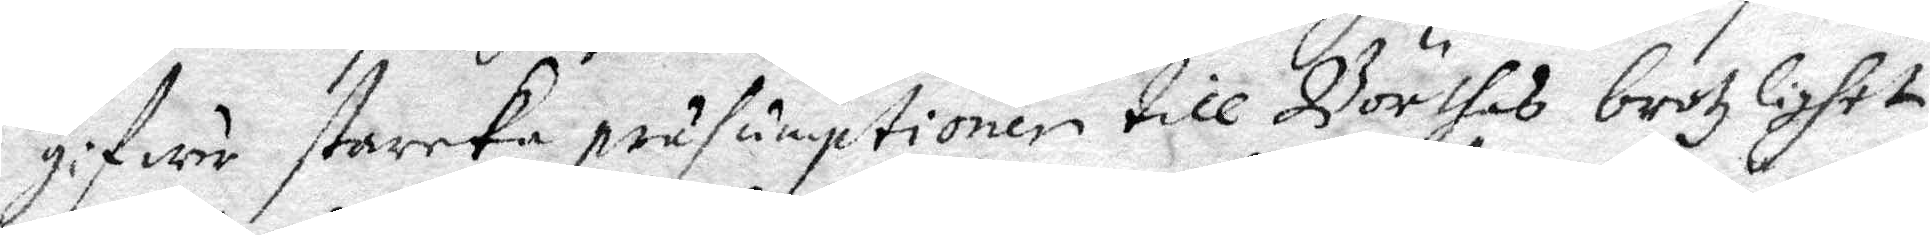gifuer starka präsumptioner till Börthas brotzlighet
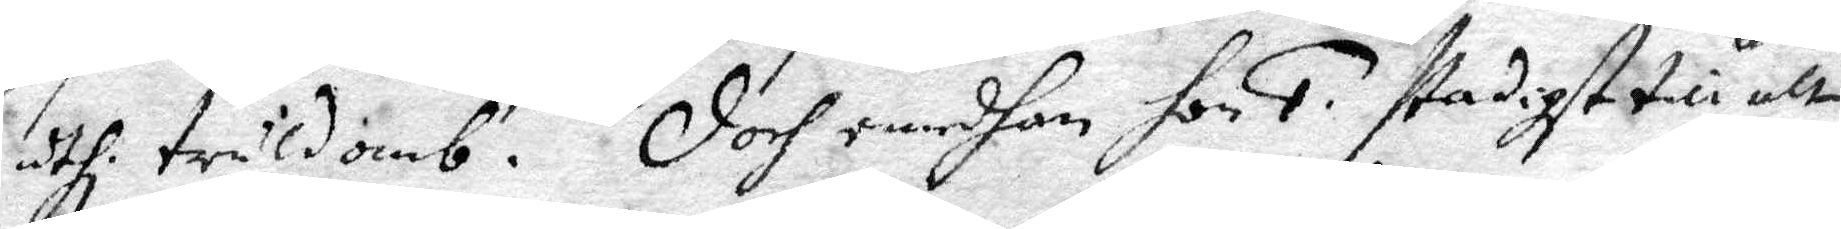uthi truldomb. Doch emedhan hon 1. stadigt till alt
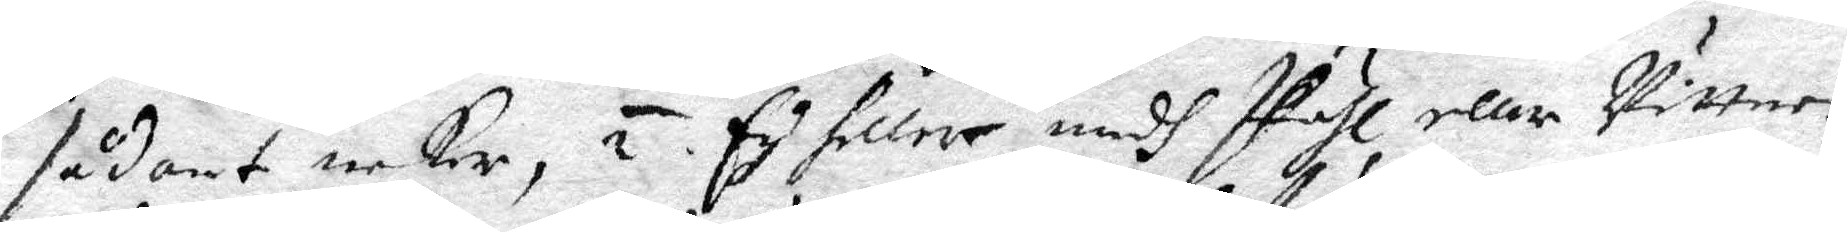sådant nekar, 2. Ey heller edg skiähl eller wittnen
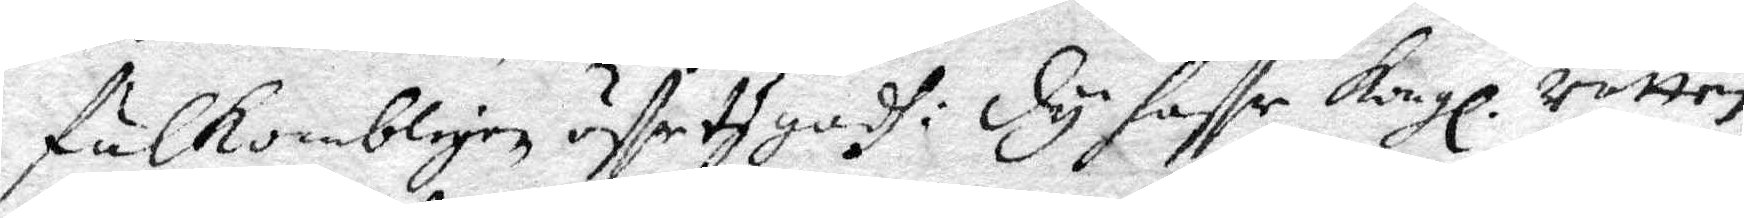fulkombligen öffertygadh: Dy haffr Kongl. rätten
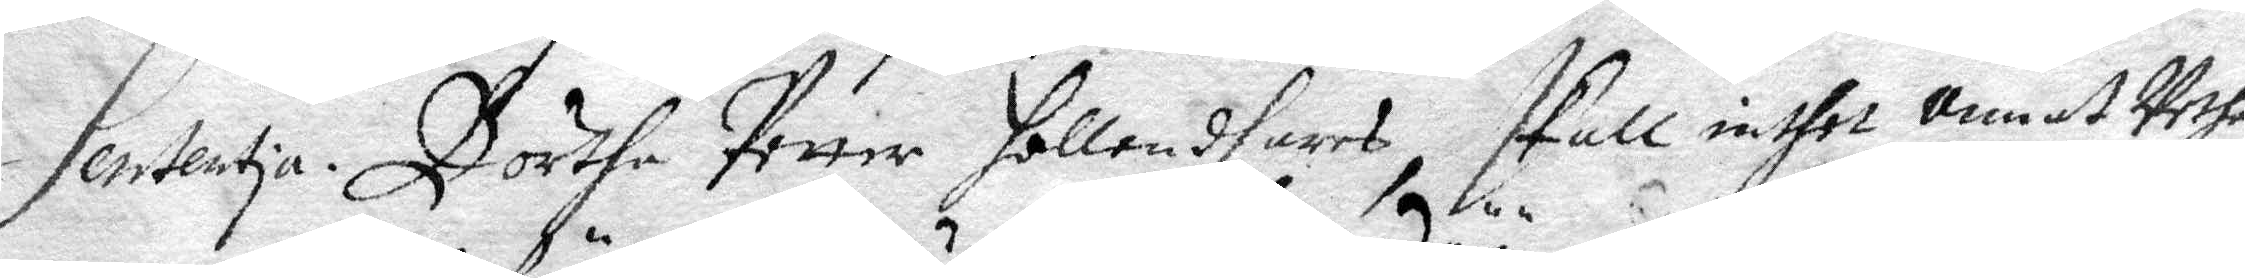Sententia. Börtha Petter Hollendhares skall inthet annat Vetha
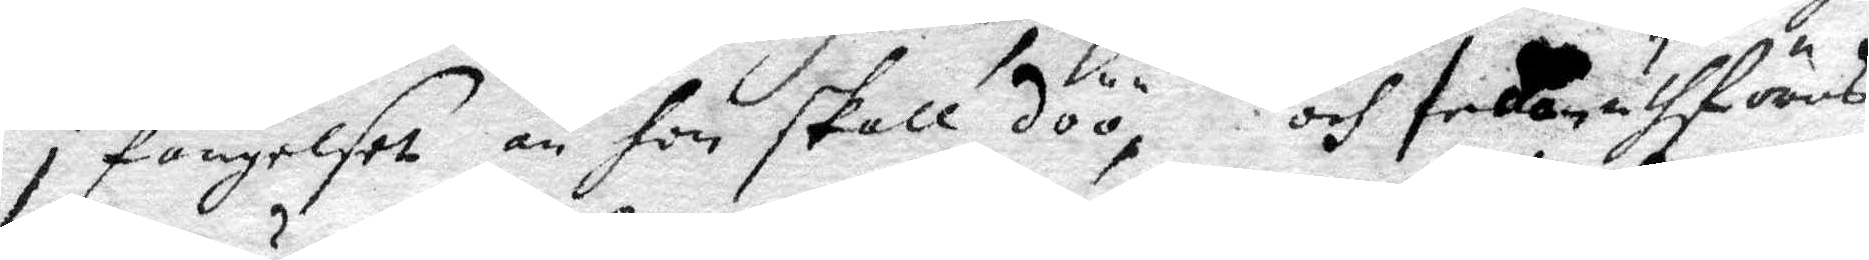i fängelset än hon skall döö, och sedan uthföras
